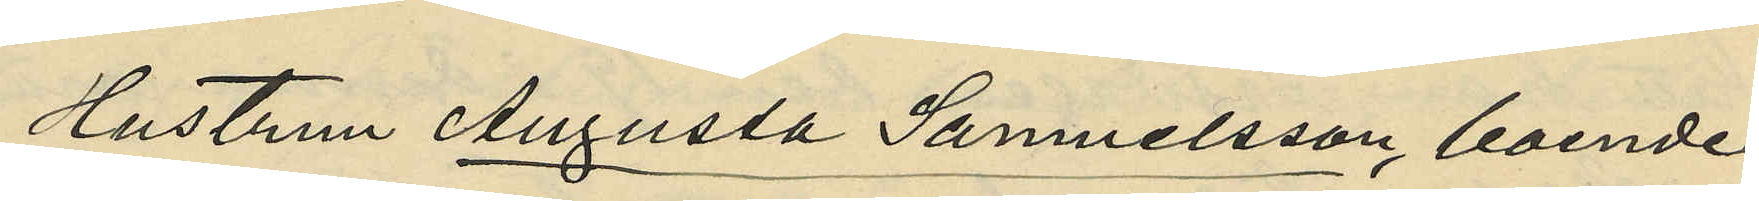Hustrun Augusta Samuelsson, boende
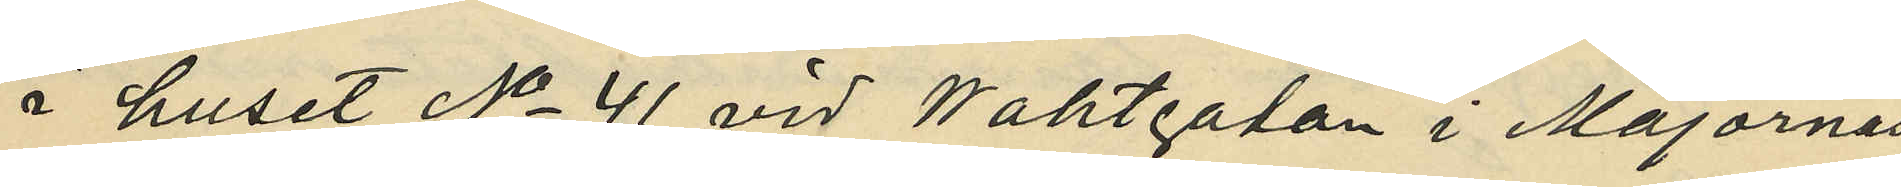i huset No 41 vid Waktgatan i Majornas
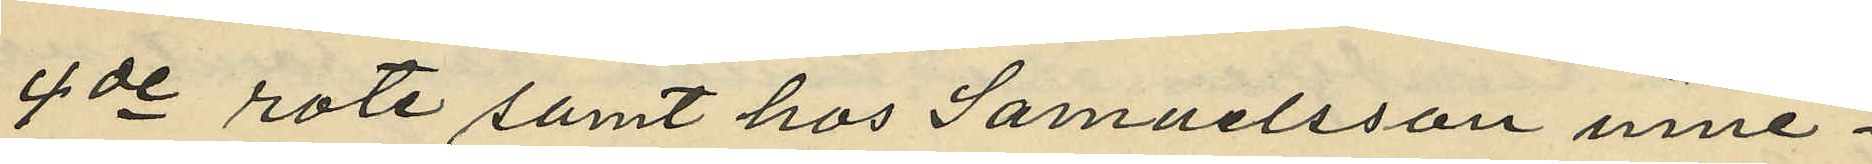4de rote samt hos Samuelsson inne¬
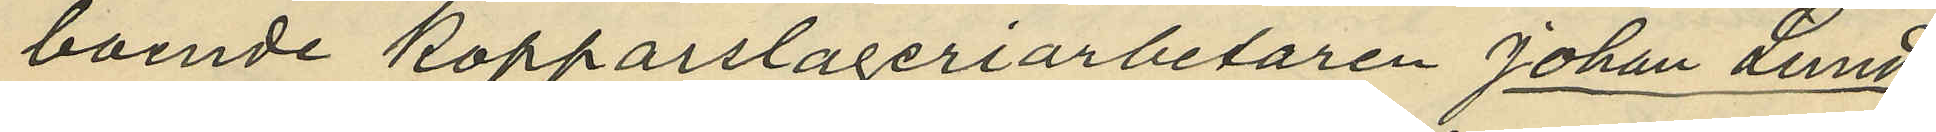boende kopparslageriarbetaren Johan Lund¬
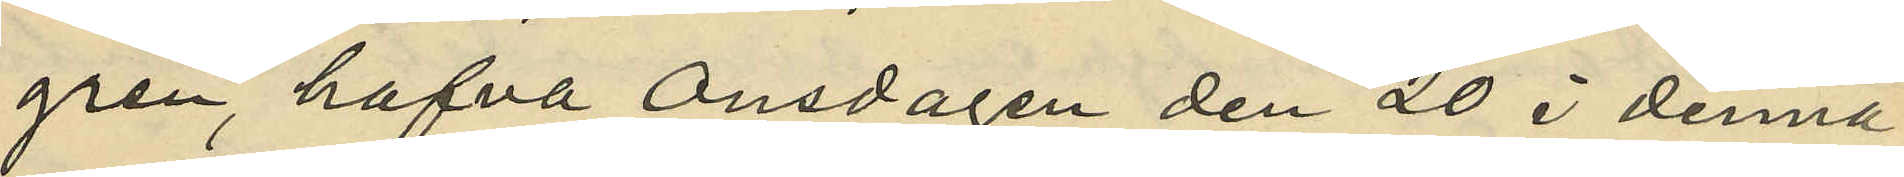gren, hafva Onsdagen den 20 i denna
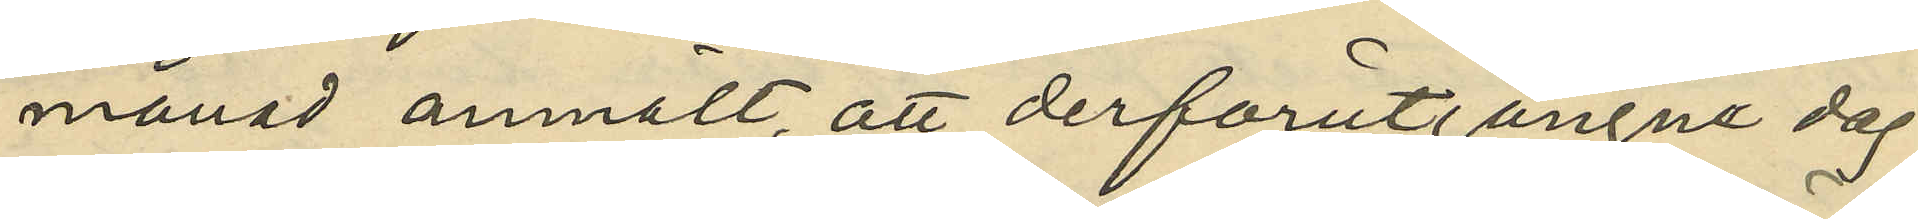månad anmält, att derförutgångne dag
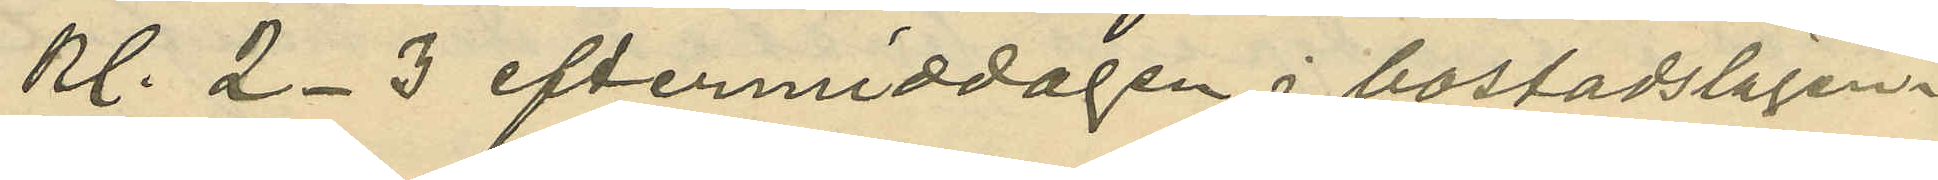kl. 2-3 eftermiddagen i bostadslägen¬
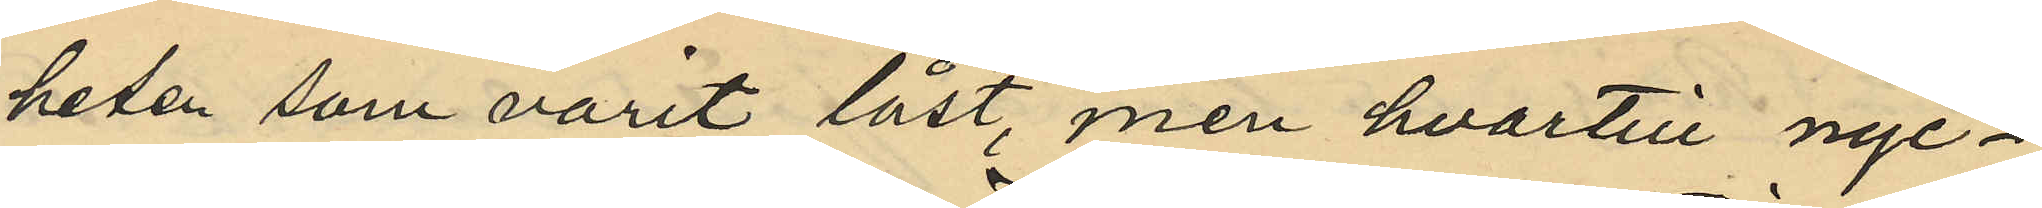heten som varit låst, men hvartill nyc¬
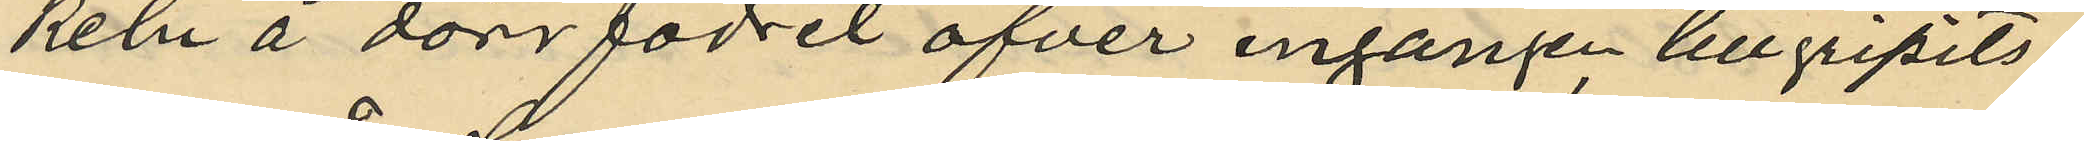keln å dörrfodret öfver ingången tillgripits:
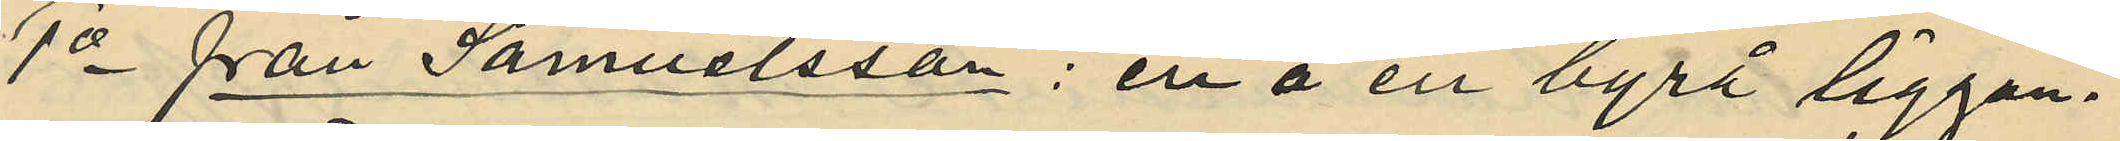1o från Samuelsson: en å en byrå liggan¬
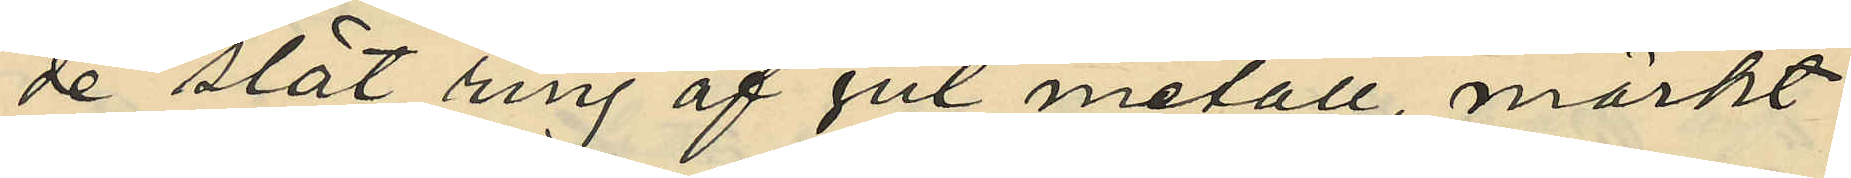de slät ring af gul metall, märkt
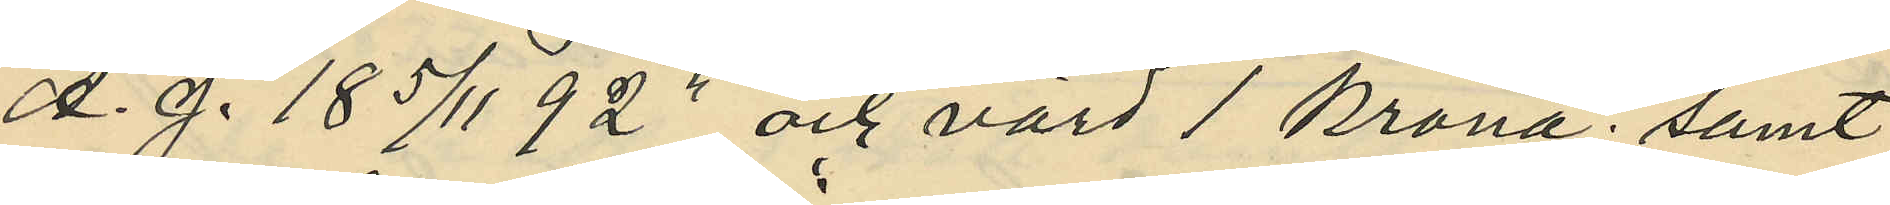A. J. 18 5/11 92 och värd 1 krona; samt
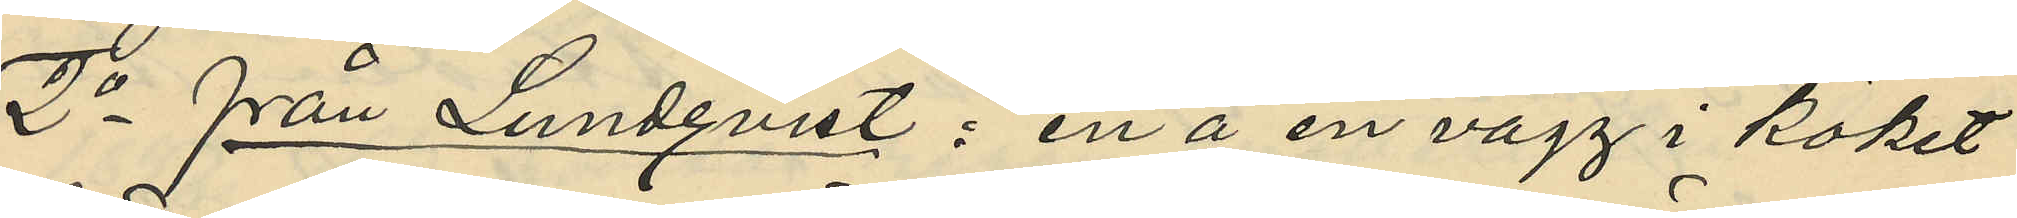2o från Lundqvist: en å en vägg i köket
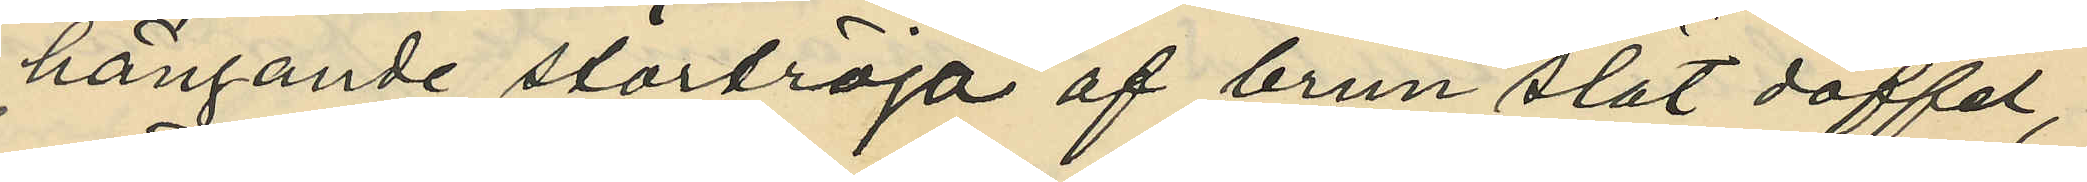hängande stortröja af brun slät doffel,
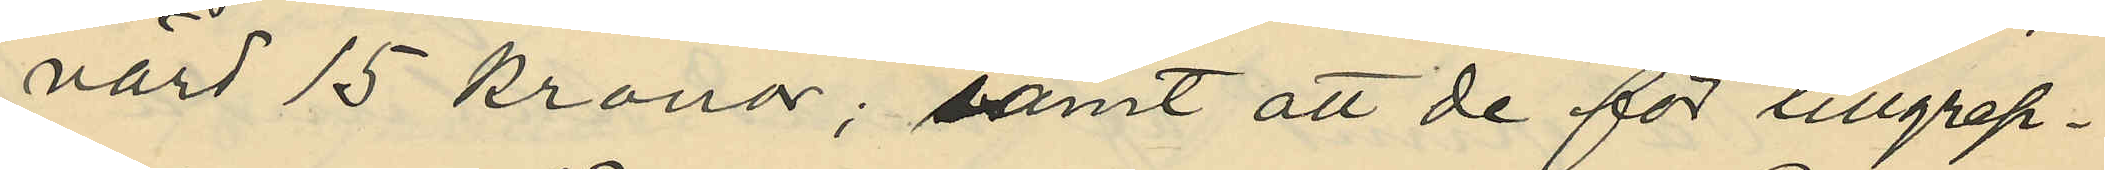värd 15 kronor, samt att de för tillgrep¬
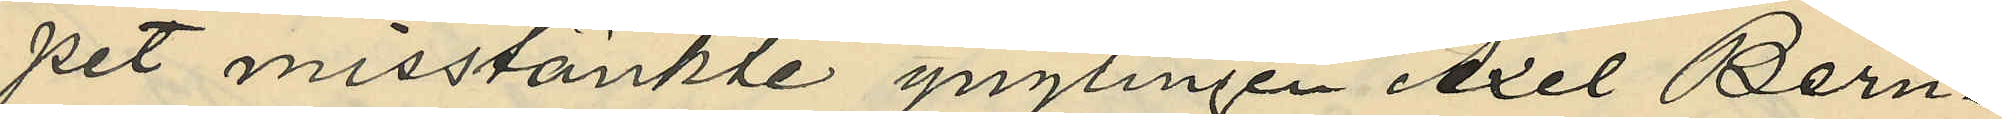pet misstänkte ynglingen Axel Bern¬
